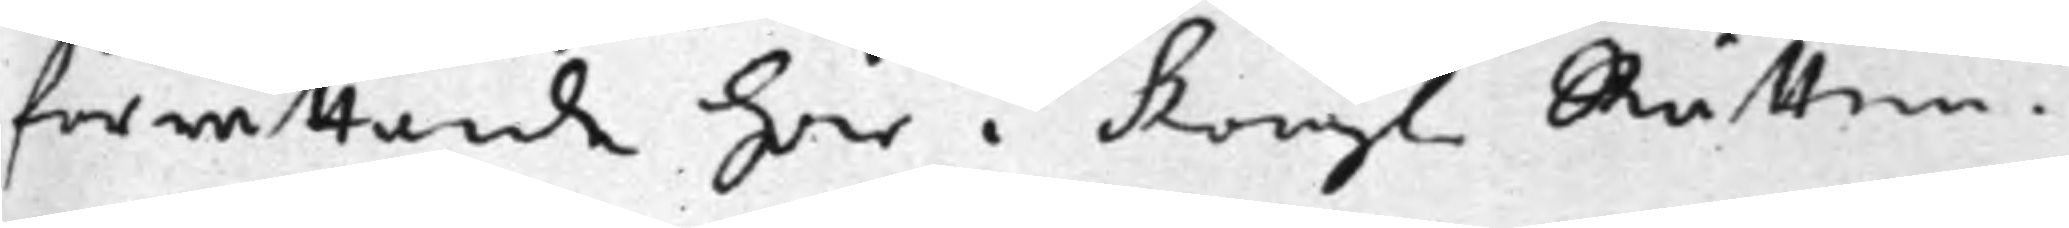förrättande här i Kongl. Rätten.
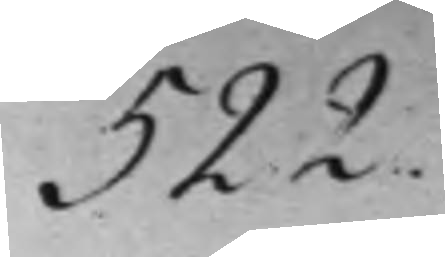522.
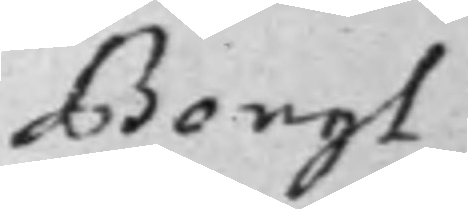Bengt
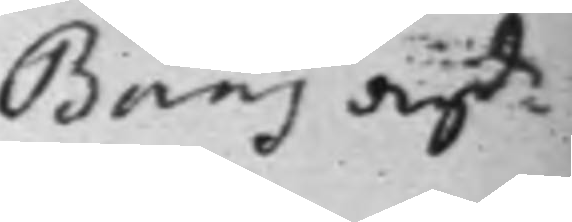Baas ang:de
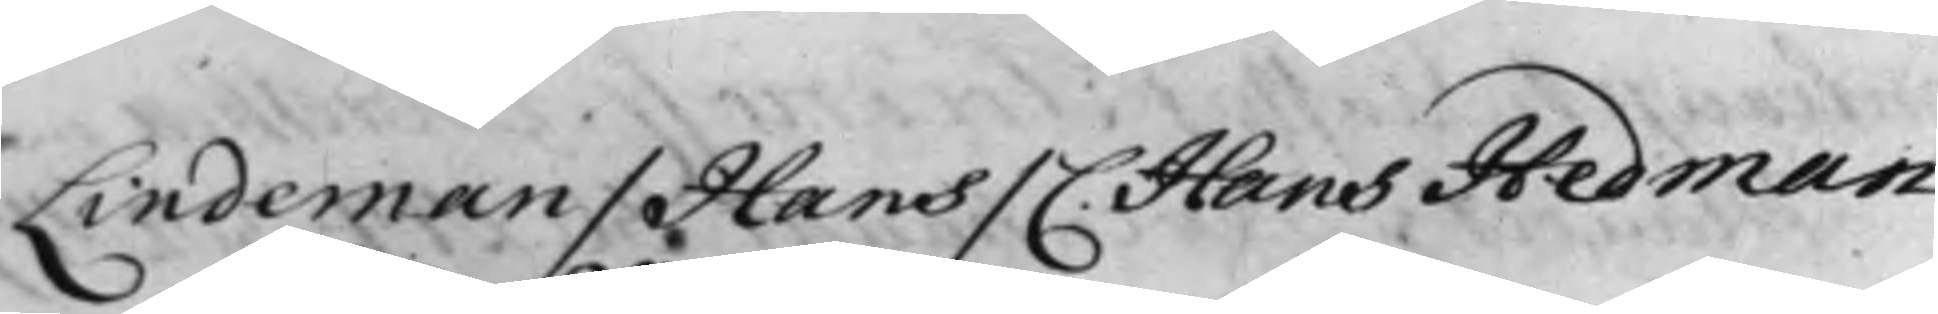Lindeman / Hans / C. Hans Hedman
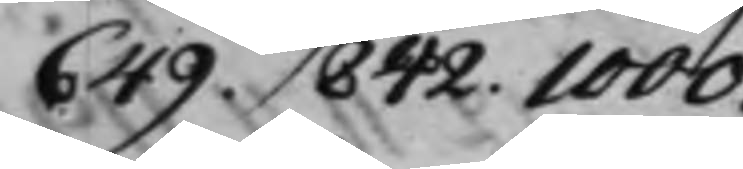649. 842. 1000.
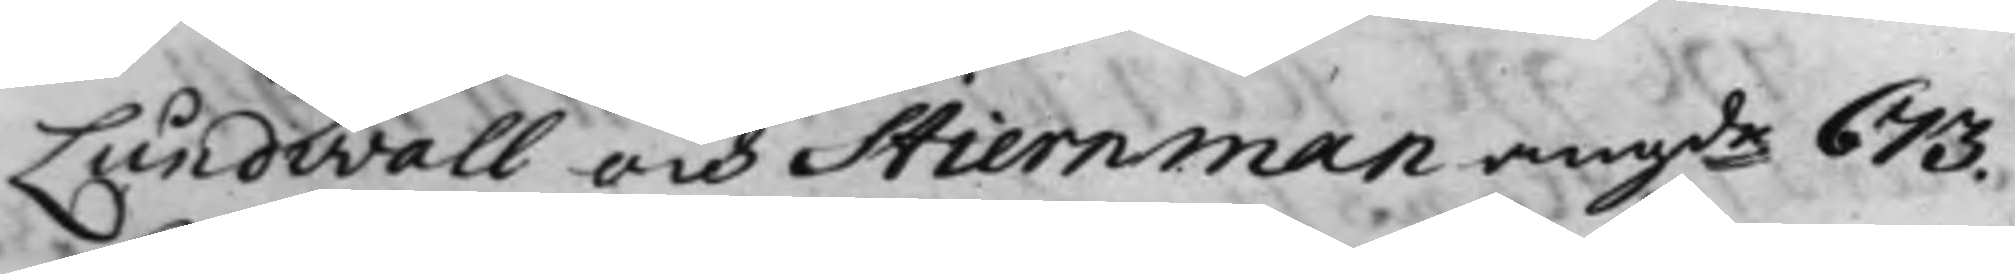Lundwall och Stiernman angde 673.
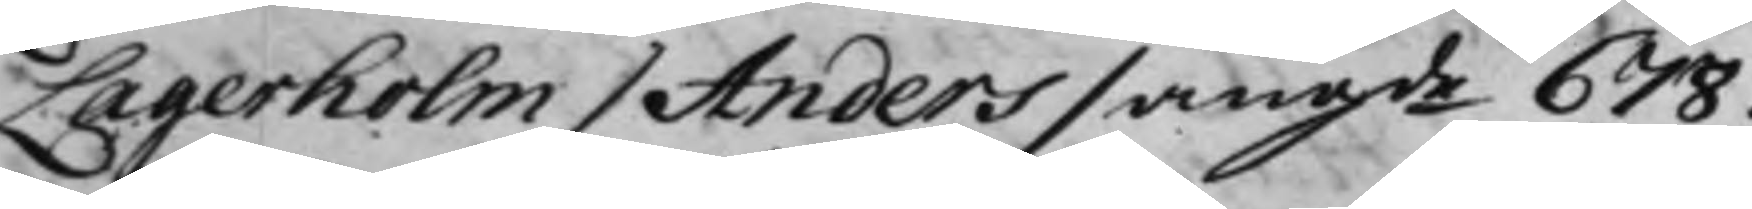Lagerholm / Anders / angde 678.
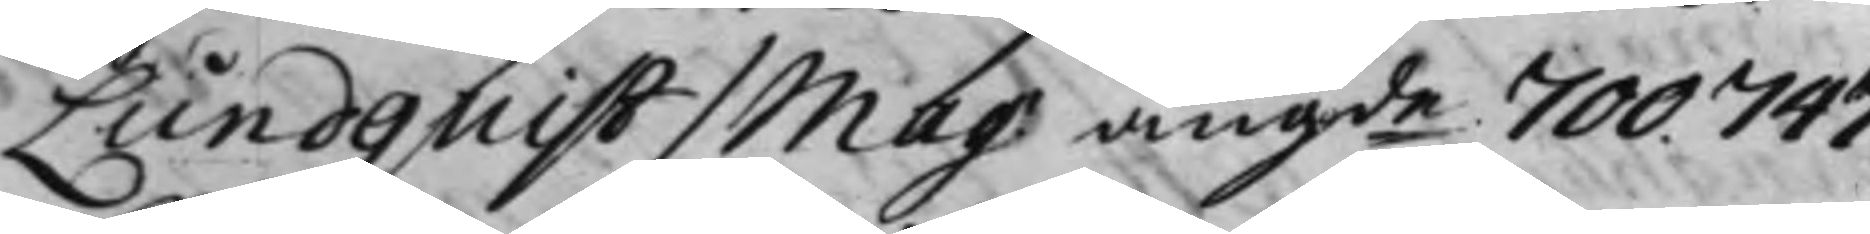Lundquist / Mag. angde 700. 747.
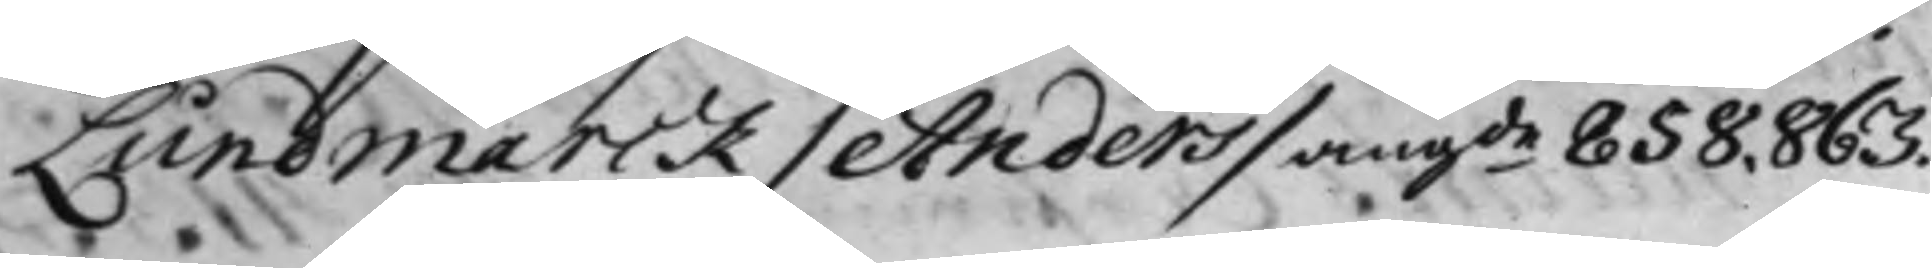Lundmarck / Anders / angde 858. 863.
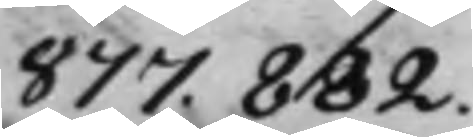877. 882.
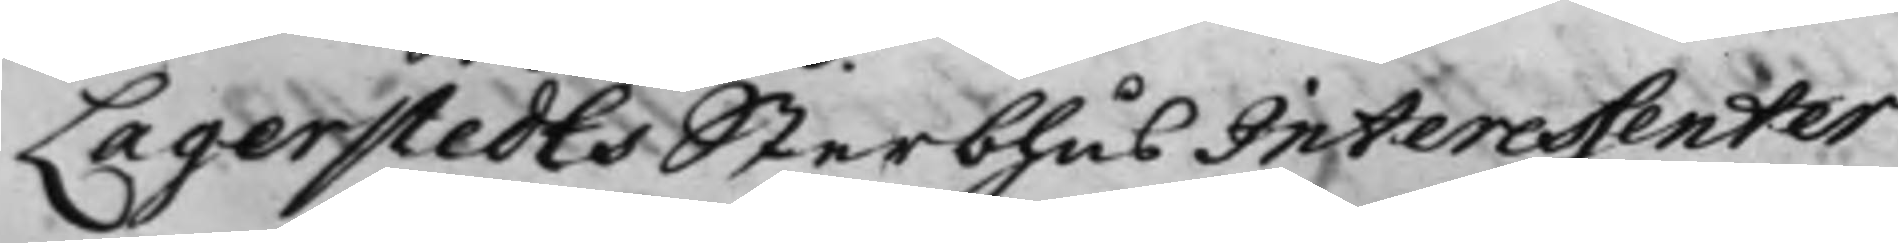Lagerstedts Sterbhus Interessenter
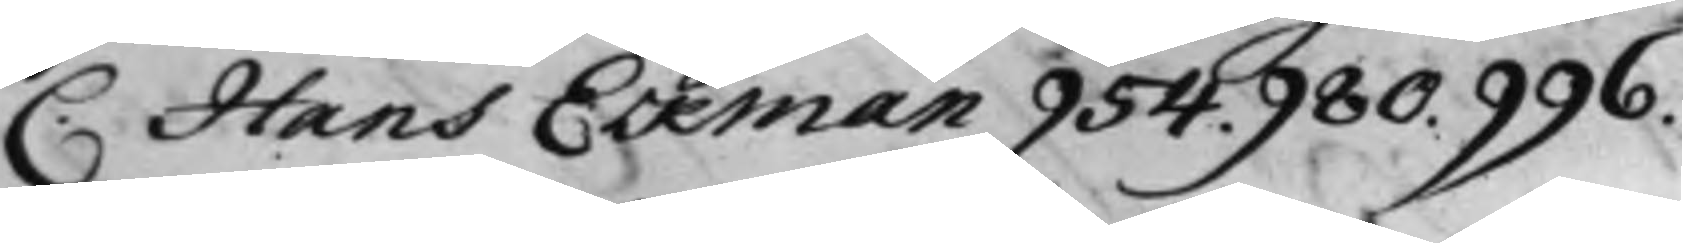C. Hans Eckman 954. 980. 996.
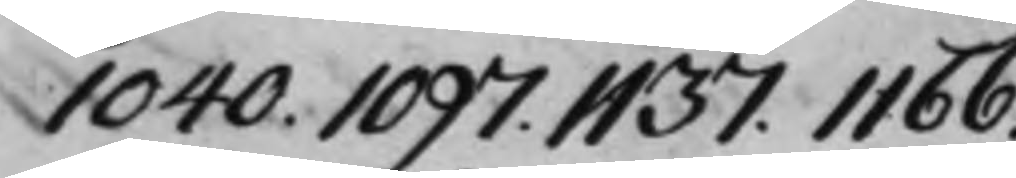1040. 1097. 1137. 1166.
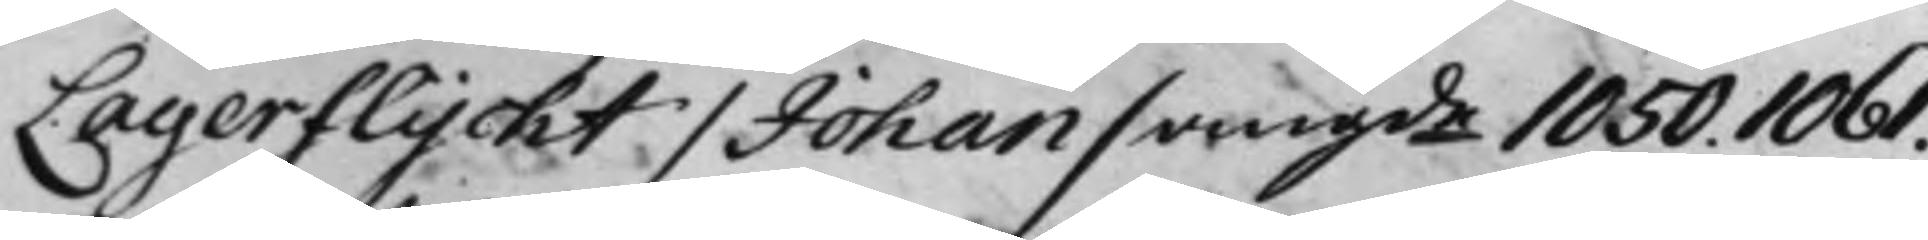Lagerflycht / Johan / angde 1050. 1061.
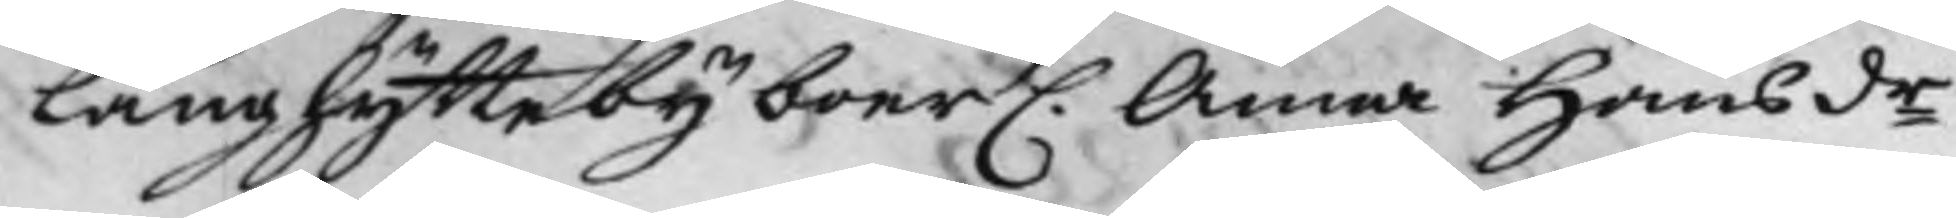Långshytte byboer C. Anna Hansdr
